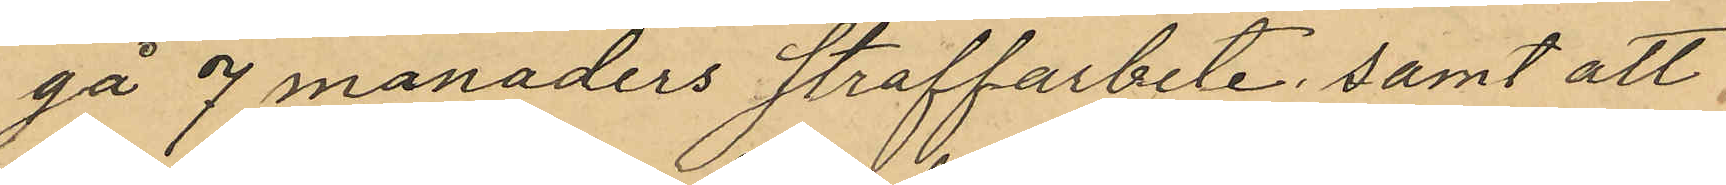gå 7 månaders straffarbete; samt att
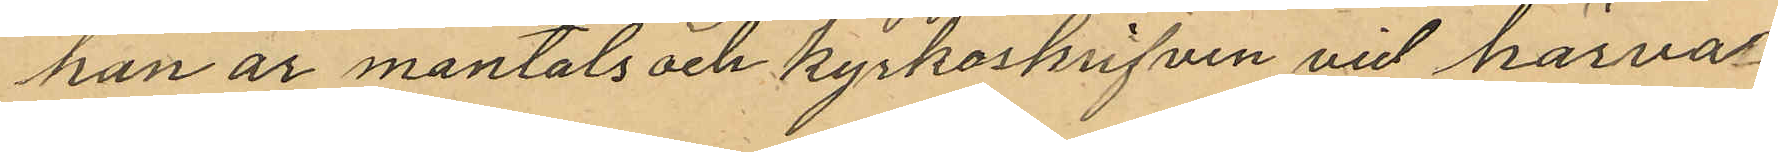han är mantals och kyrkoskrifven vid härva¬
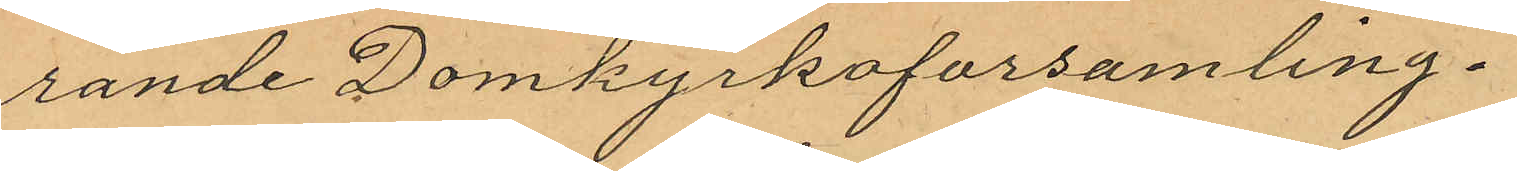rande Domkyrkoförsamling.
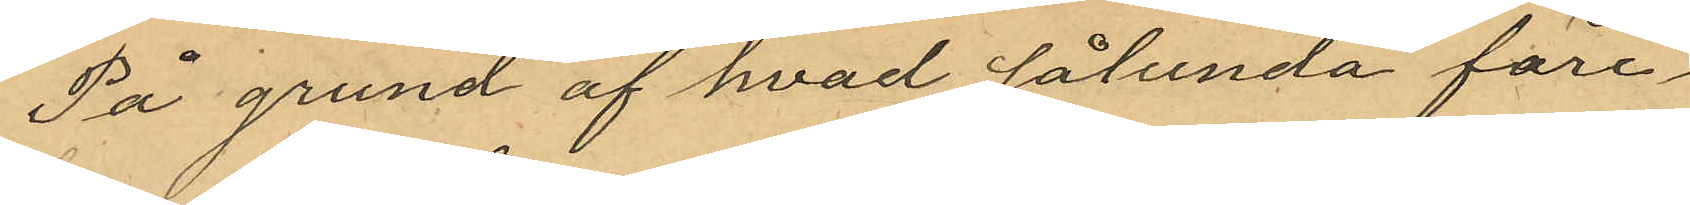På grund af hvad sålunda före¬
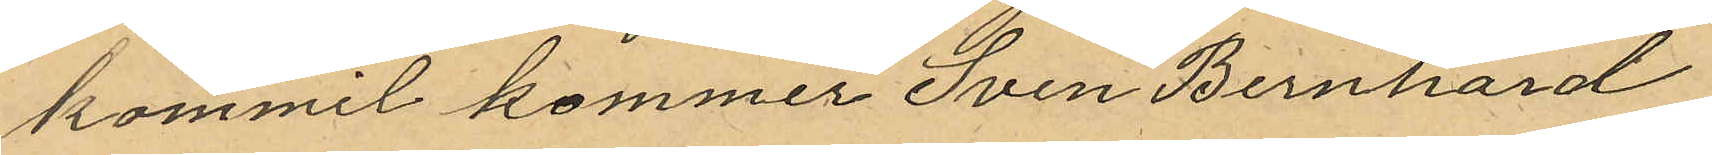kommit kommer Sven Bernhard
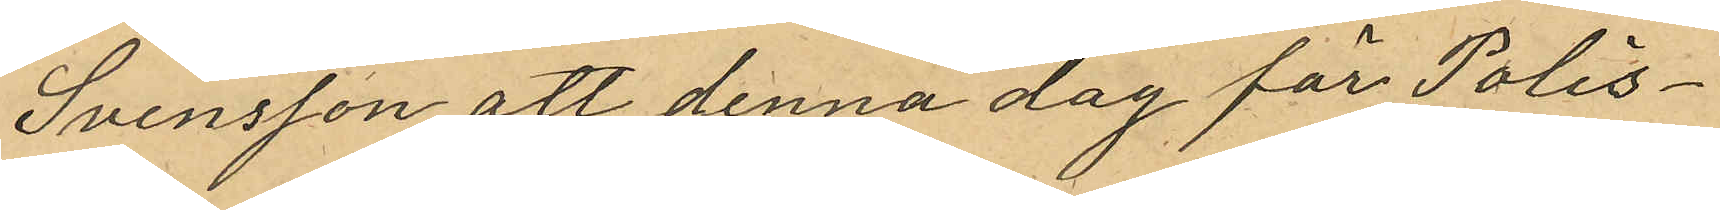Svensson att denna dag för Polis¬
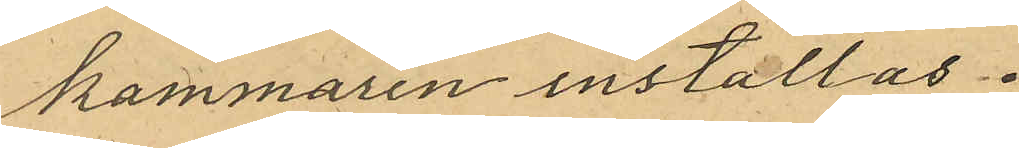kammaren inställas.
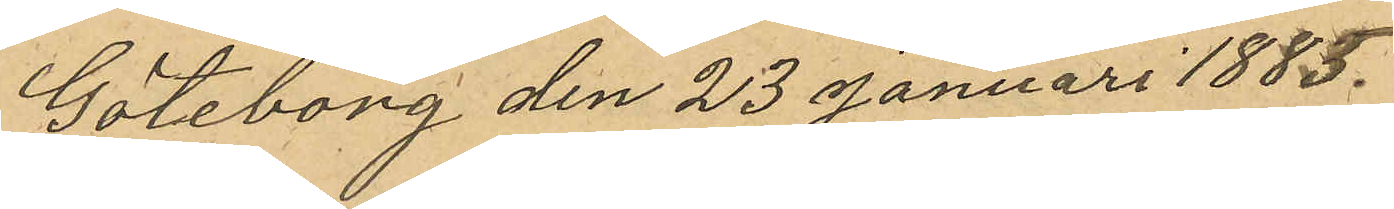Göteborg den 23 Januari 1885.
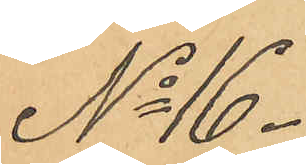No 16.
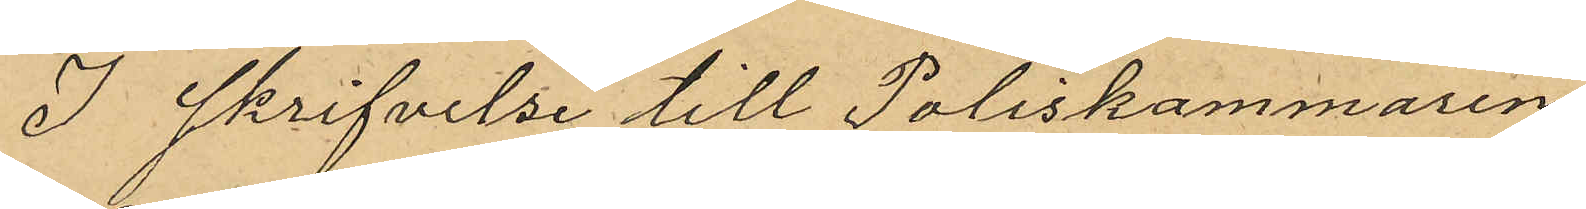I skrifvelse till Poliskammaren
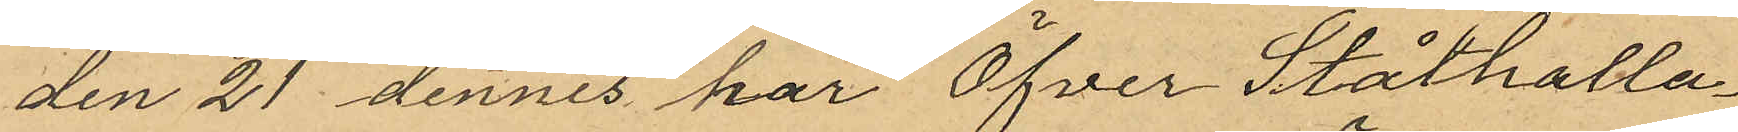den 21 dennes har Öfver Ståthålla¬
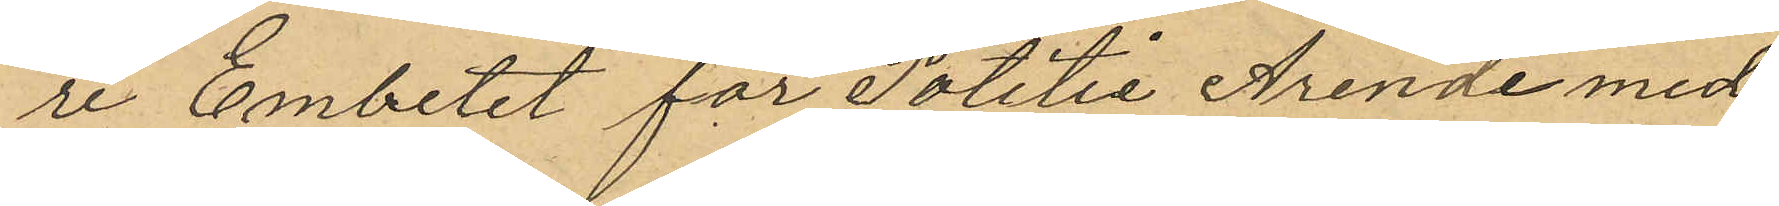re Embetet för Politie Ärende med
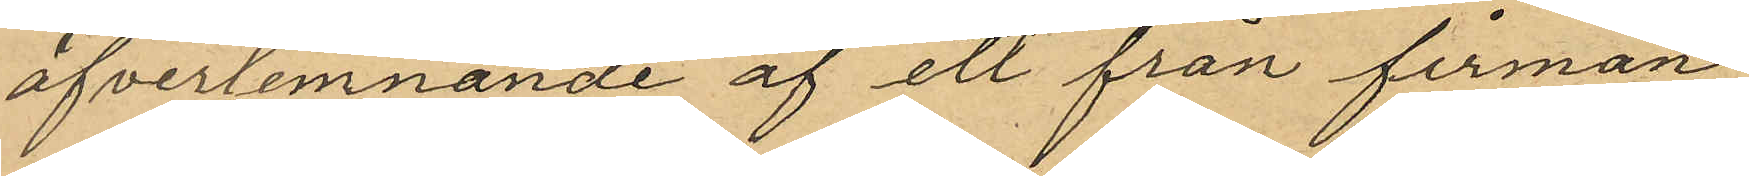öfverlemnande af ett från firman
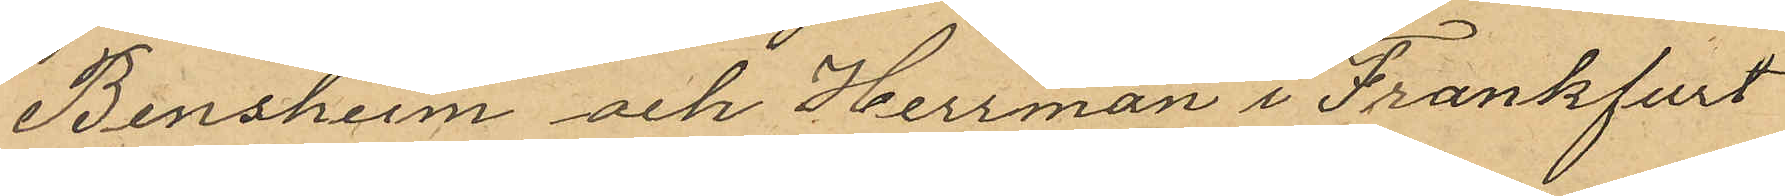Bensheim och Herrman i Frankfurt
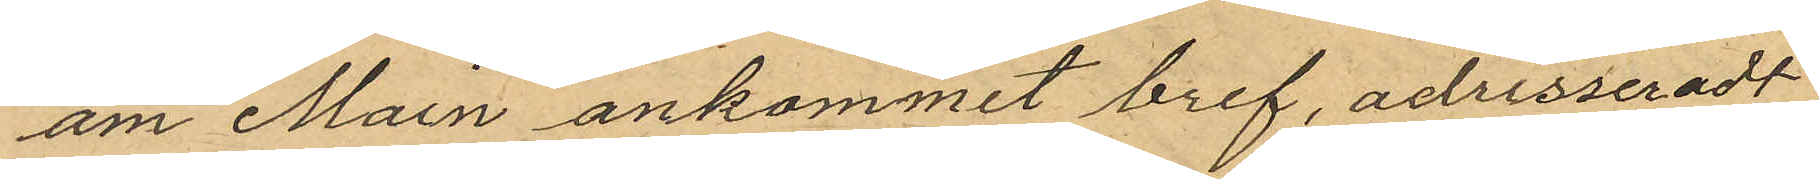am Main ankommit bref, adresseradt
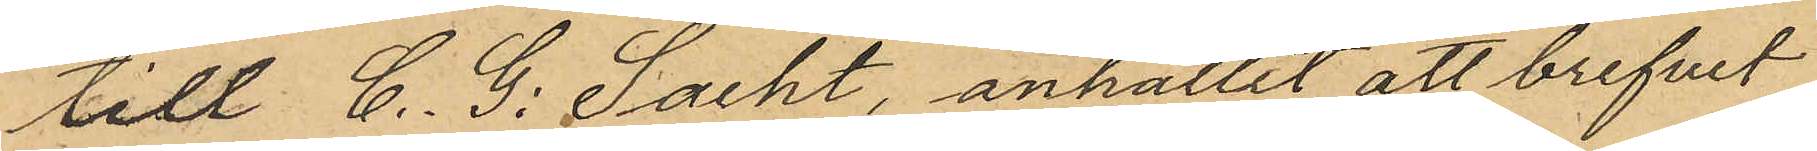till C. G. Sacht, anhållit att brefvet
